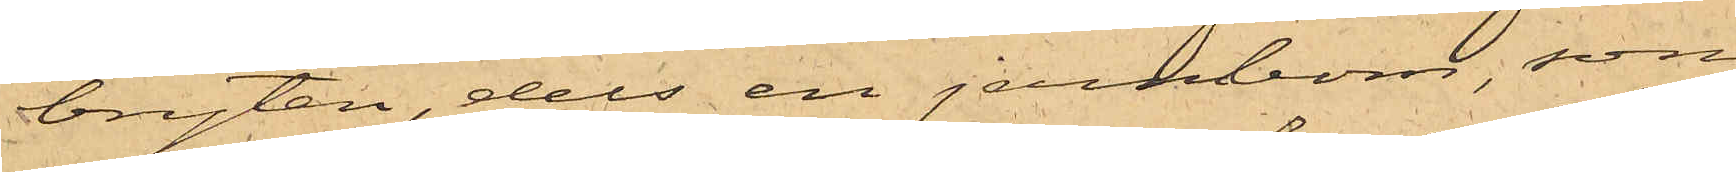bryten, dels en jernbom, som
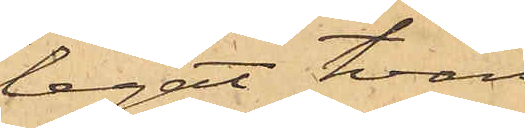legat tvärs
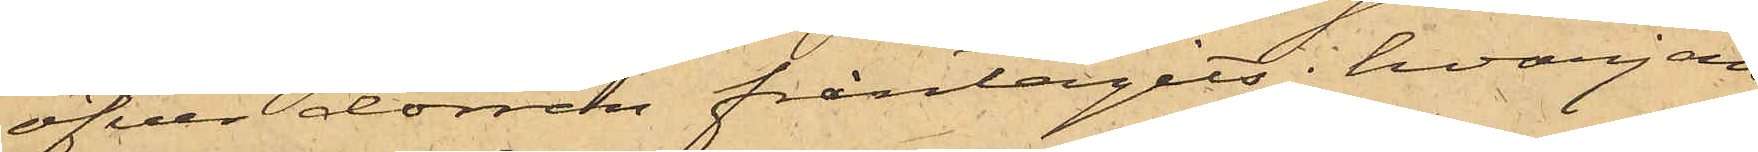öfver dörren fråntagits; hvarjem¬
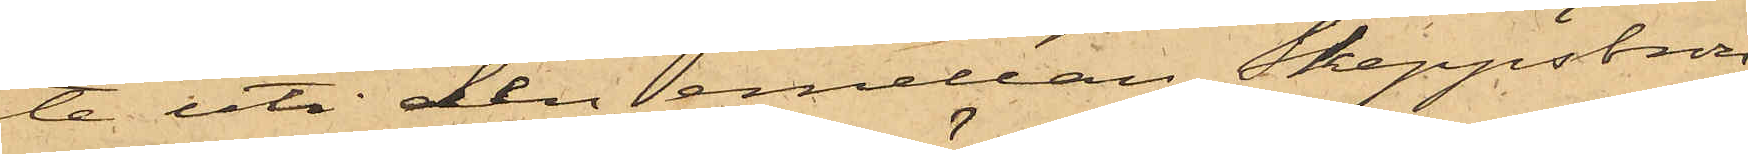te uti den emellan Skeppsbron
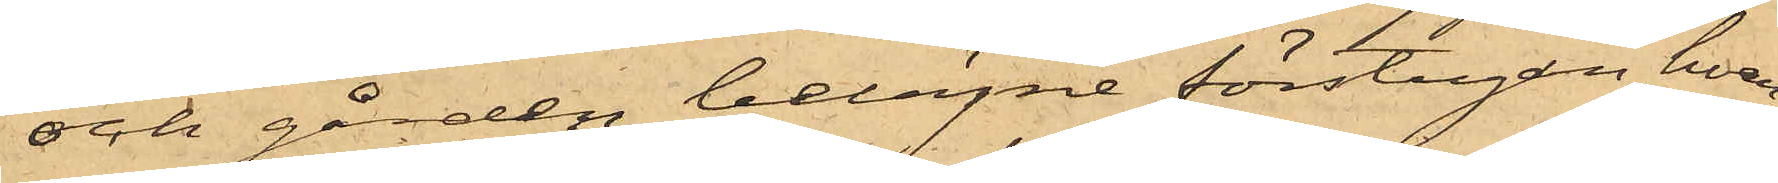och gården belägne förstugan, hvar¬
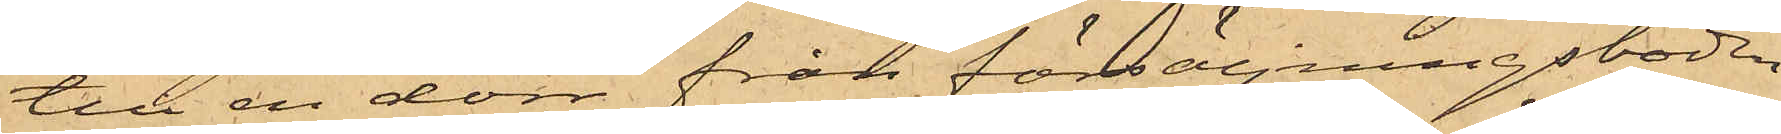till en dörr från försäljningsboden
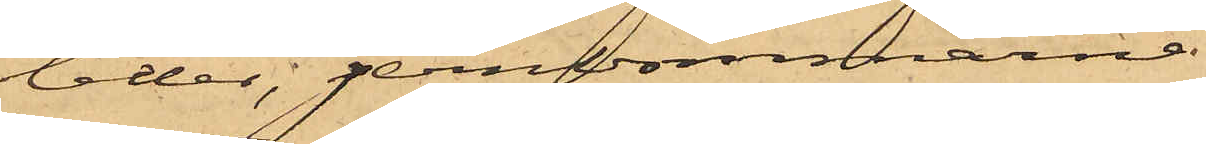leder, jernbommarna
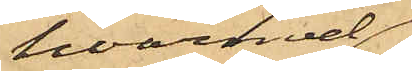hvarmed
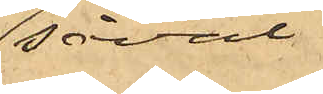såväl
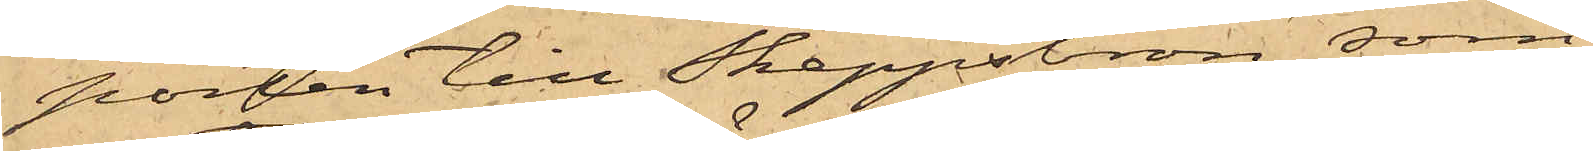porten till Skeppsbron som
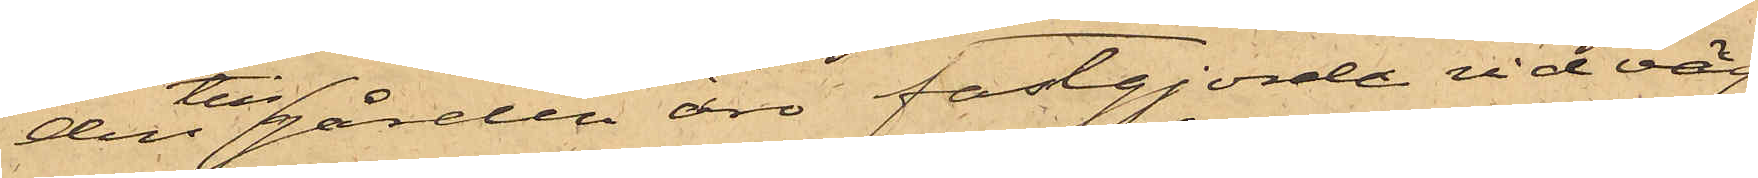den till gården äro fastgjorde vid väg¬
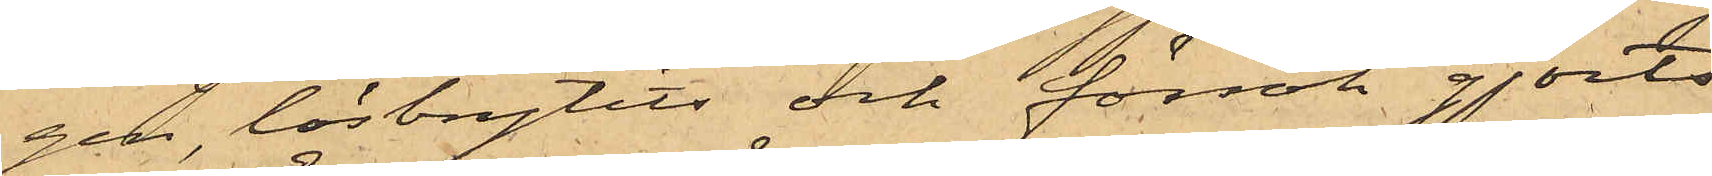gen, lösbrytits och försök gjorts
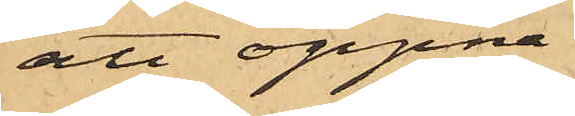att öppna
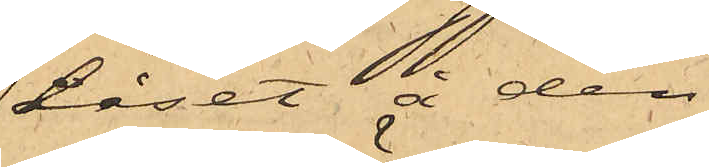låset å den
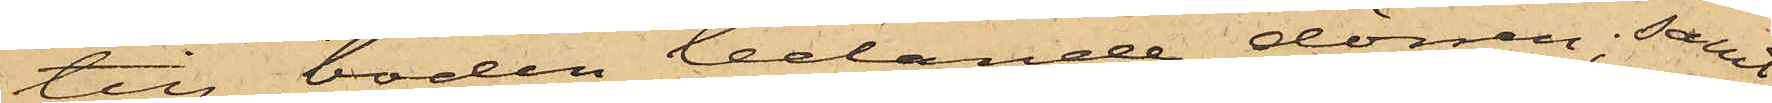till boden ledande dörren; samt
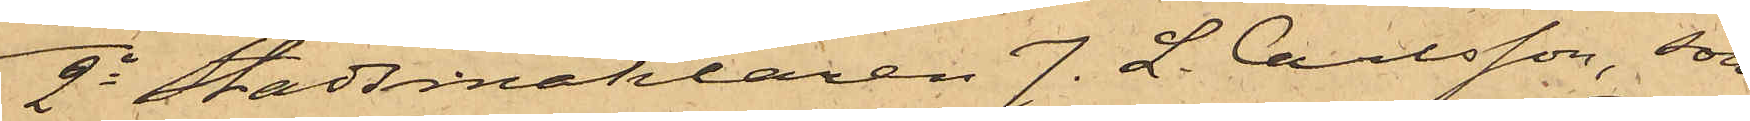2o Stadsmäklaren J. L. Carlsson, som
